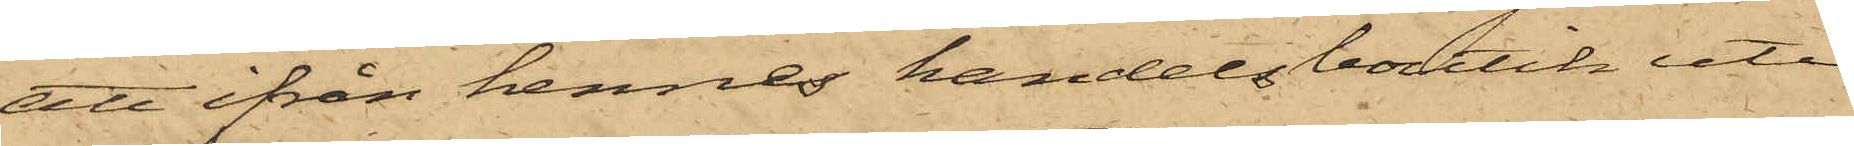att ifrån hennes handelsboutik uti
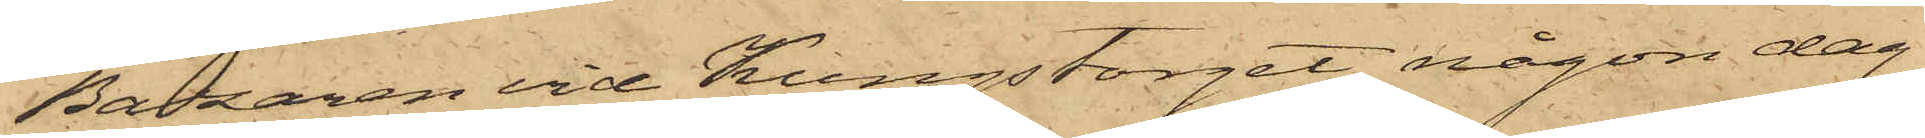Bazaren vid Kungstorget någon dag
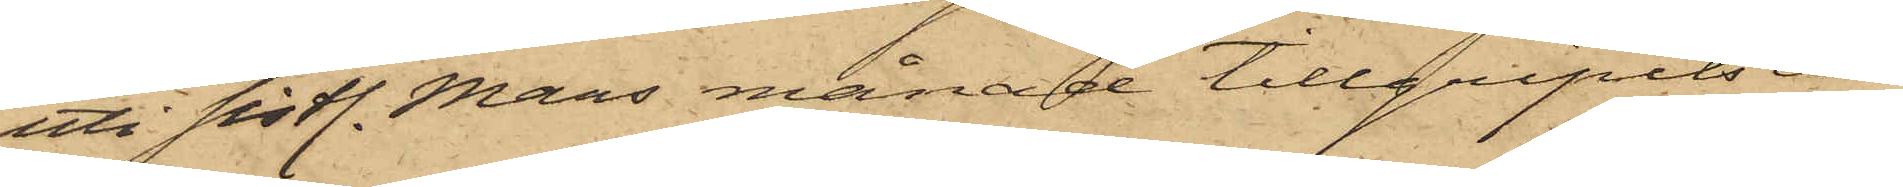uti sistl. Mars månad tillgripits ett
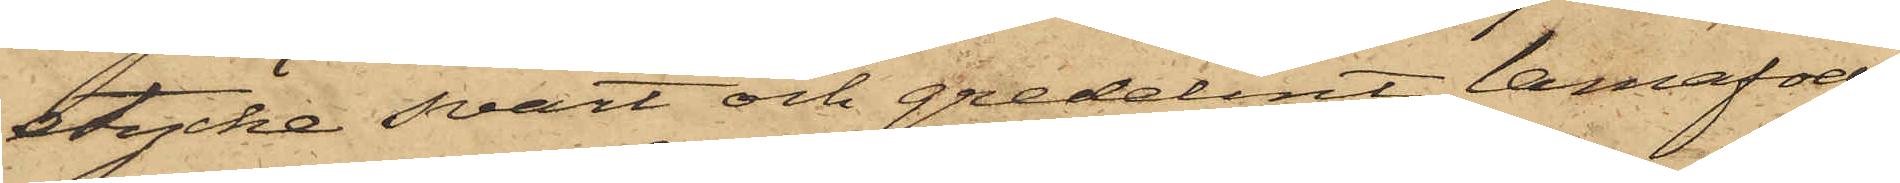stycke svart och gredelint lamafoder
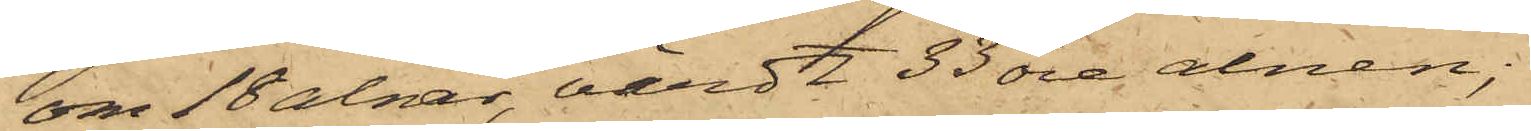om 18 alnar, värdt 33 öre alnen;
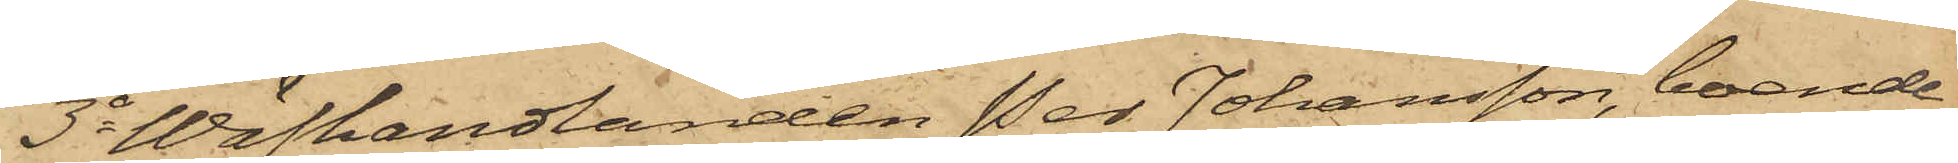3o Wäfhandlanden Per Johansson, boende
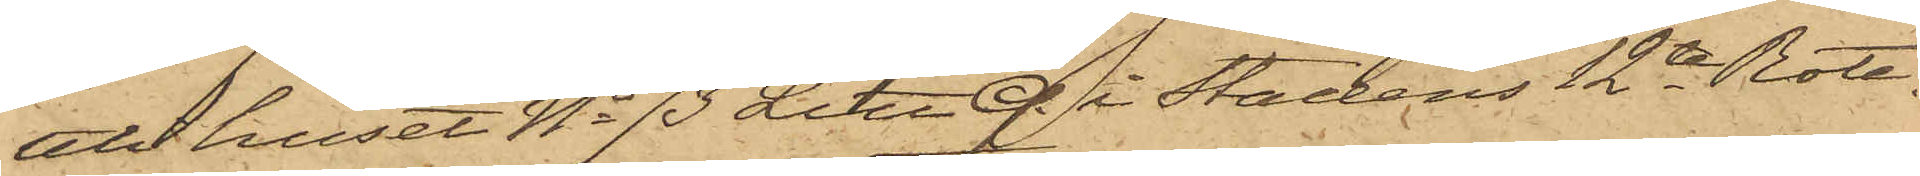att huset No 73 Litt Q. i Stadens 12te Rote,
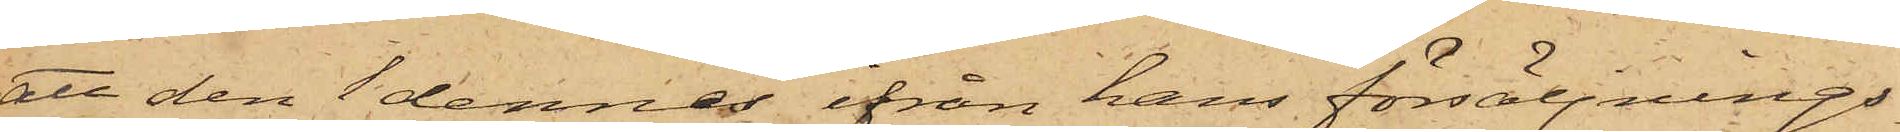att den 1 dennes ifrån hans försäljnings¬
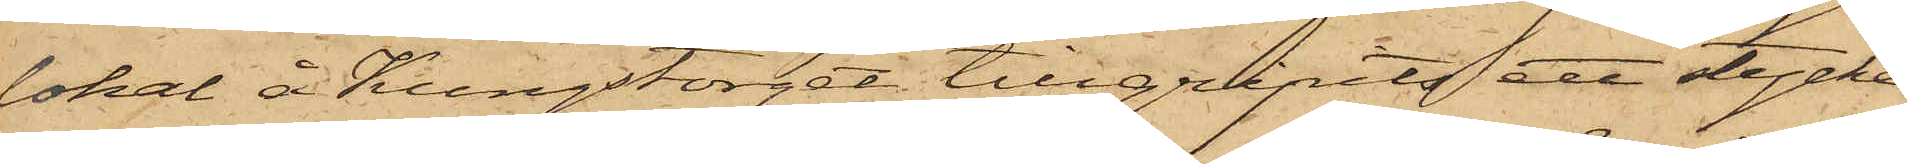lokal å Kungstorget tillgripits ett stycke
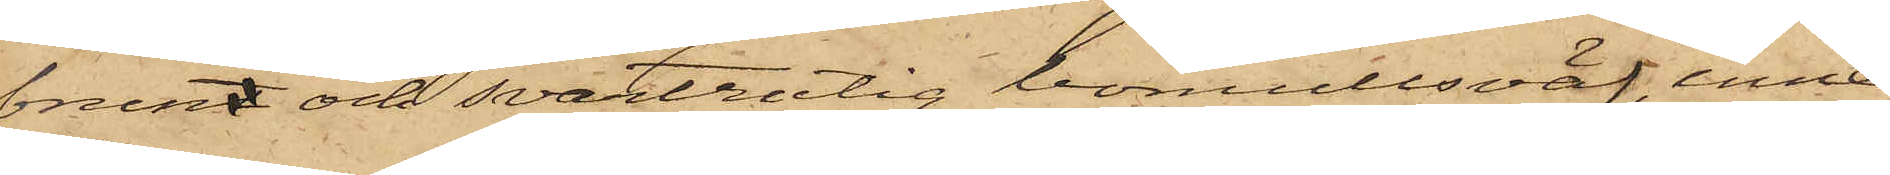brunt och svartrutig bomullsväf, inne¬
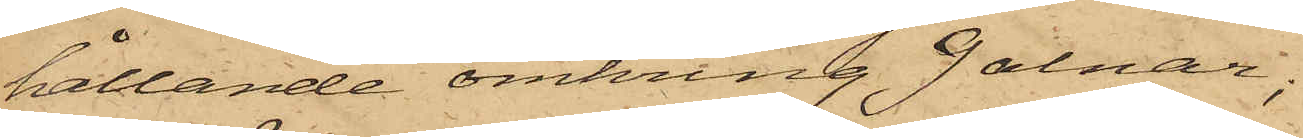hållande omkring 9 alnar;
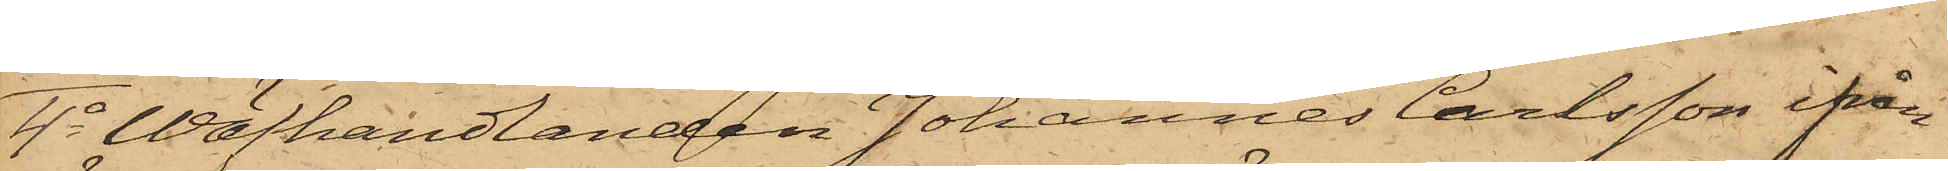4o Wäfhandlanden Johannes Carlsson ifrån
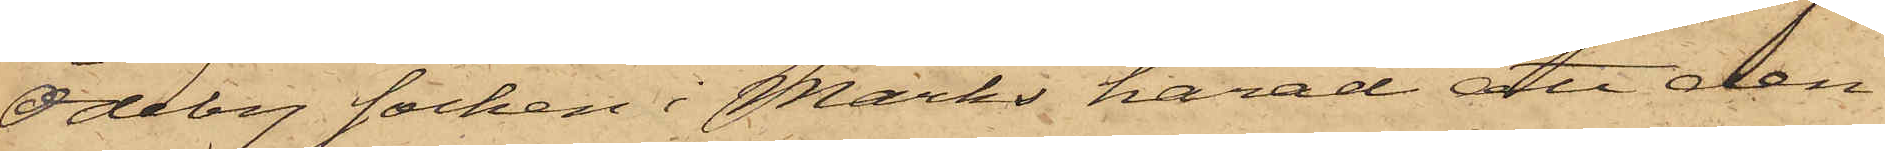Ödeby socken i Marks härad, att den
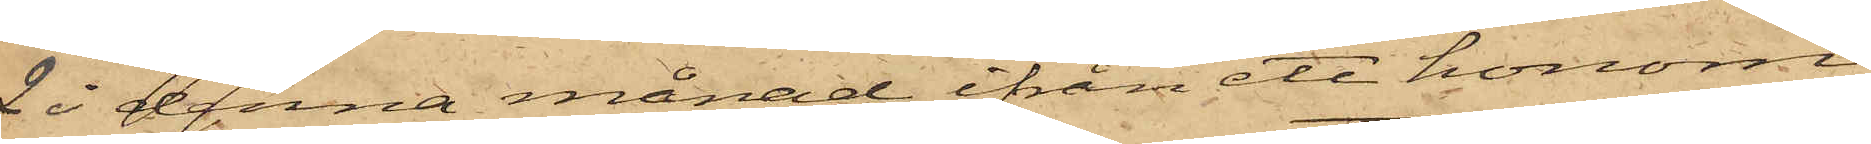2 i denna månad ifrån ett honom
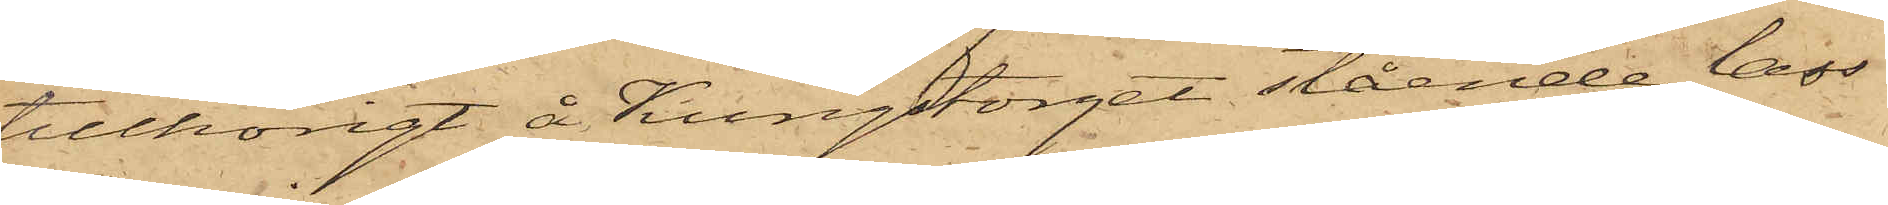tillhörigt å Kungstorget stående lass
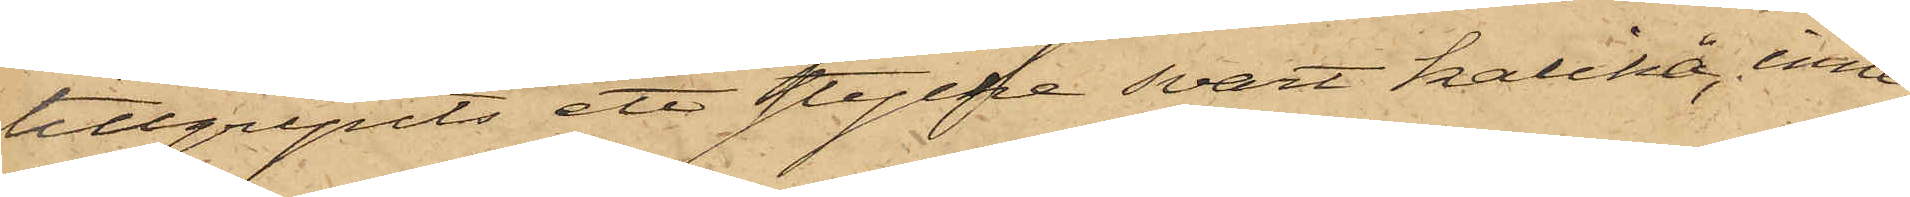tillgripits ett stycke svart kalikå, inne¬
